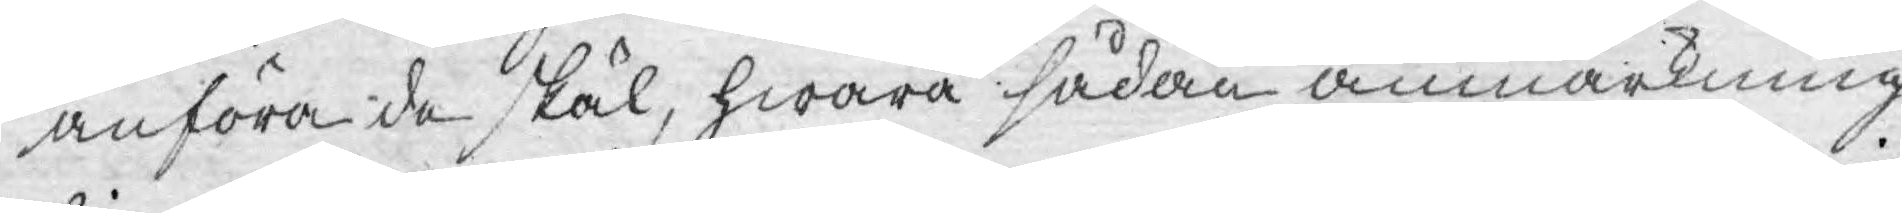anföra de skäl, hwarå sådan anmärkning
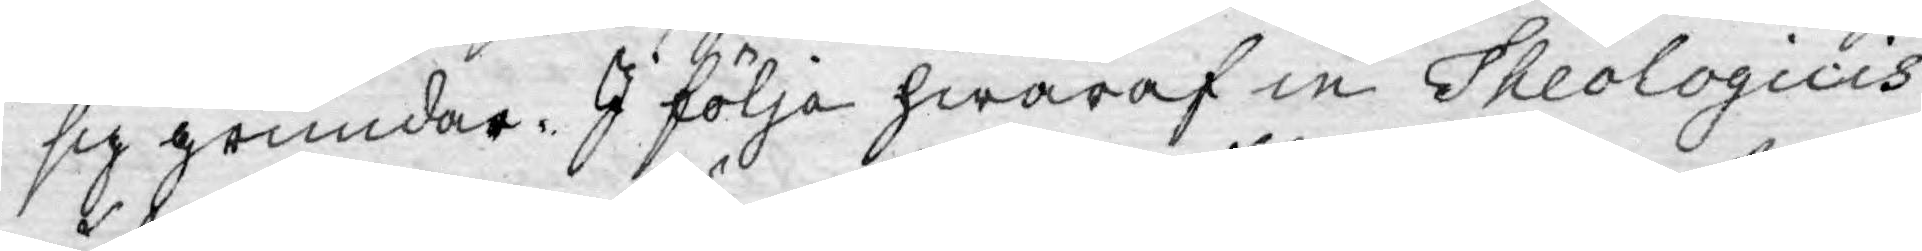sig grundar. I följe hwaraf in Theologicis
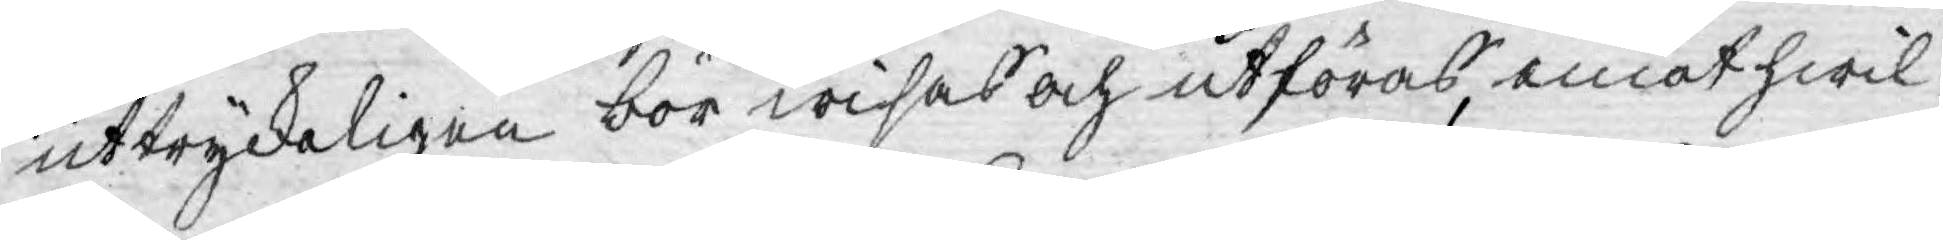uttryckeligen bör wisas och utföras, emot hwil¬
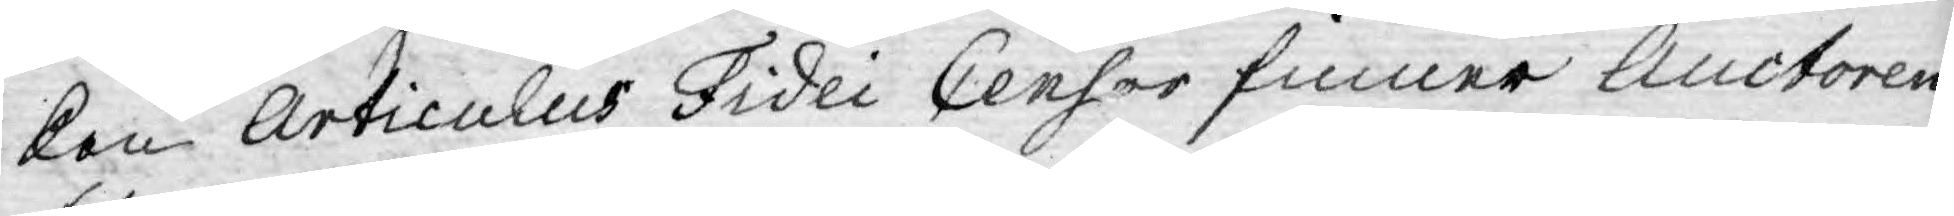ken Articulus Fidei Censor finner Auctoren
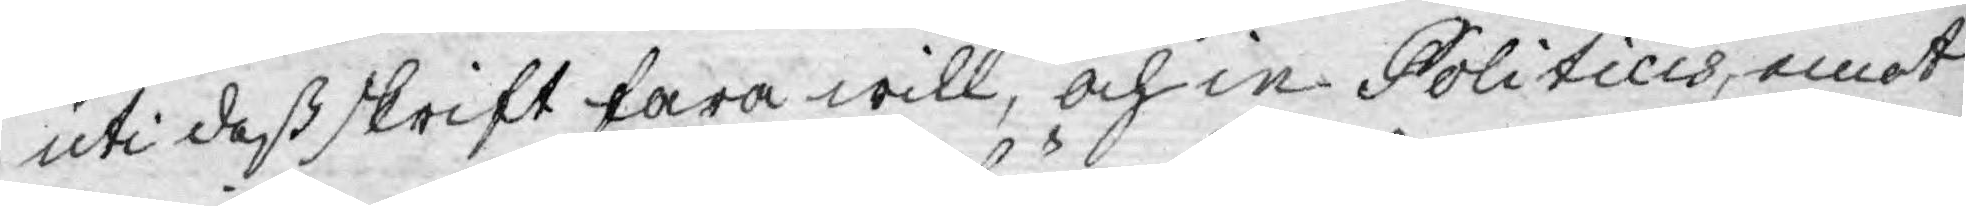uti deß skrift fara will, och in Politicis, emot
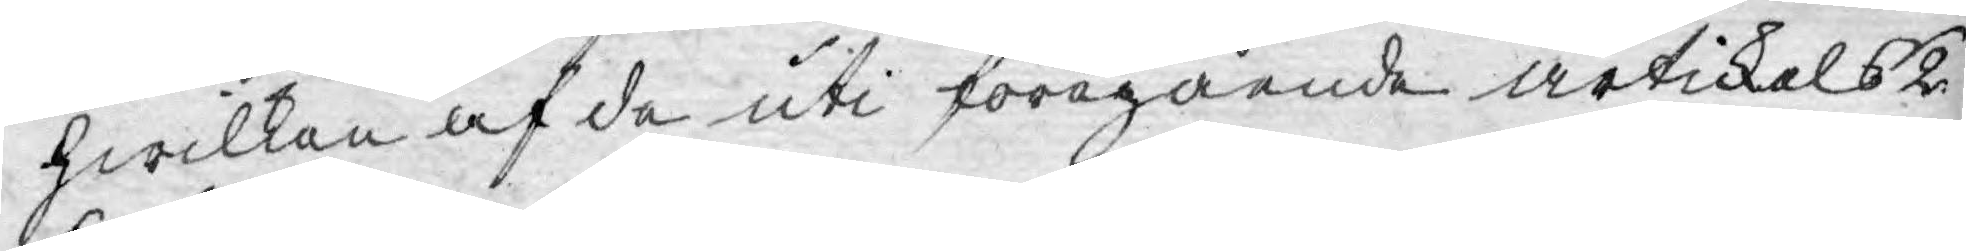hwilken af de uti föregående artickels 2
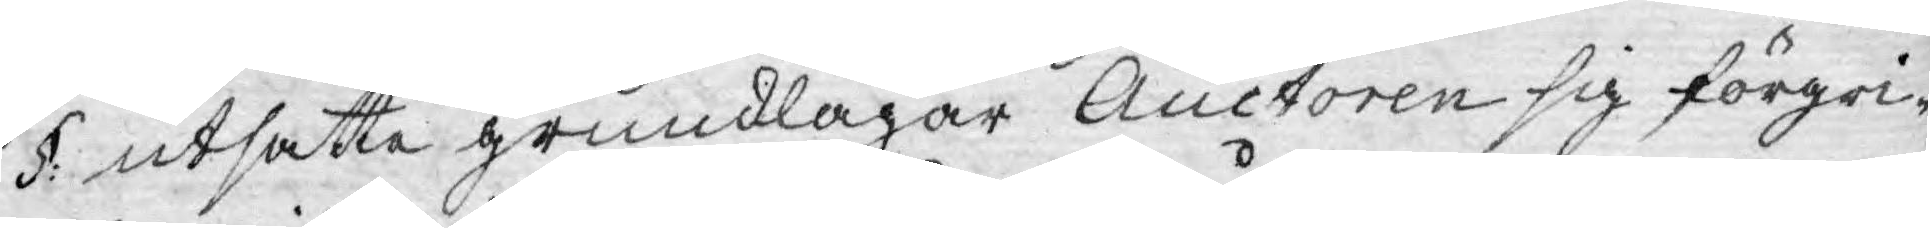§: utsatte grundlagar Auctoren sig förgri¬
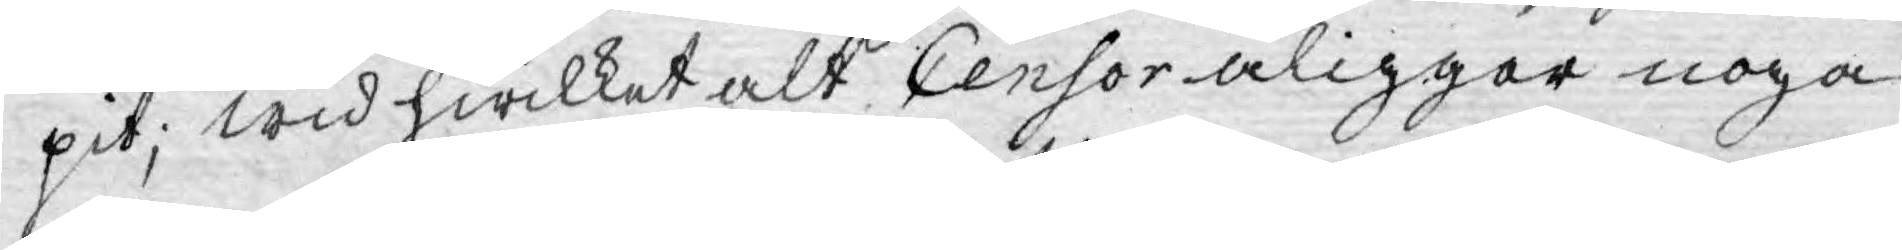pit; wid hwilket alt Censor åliggar noga
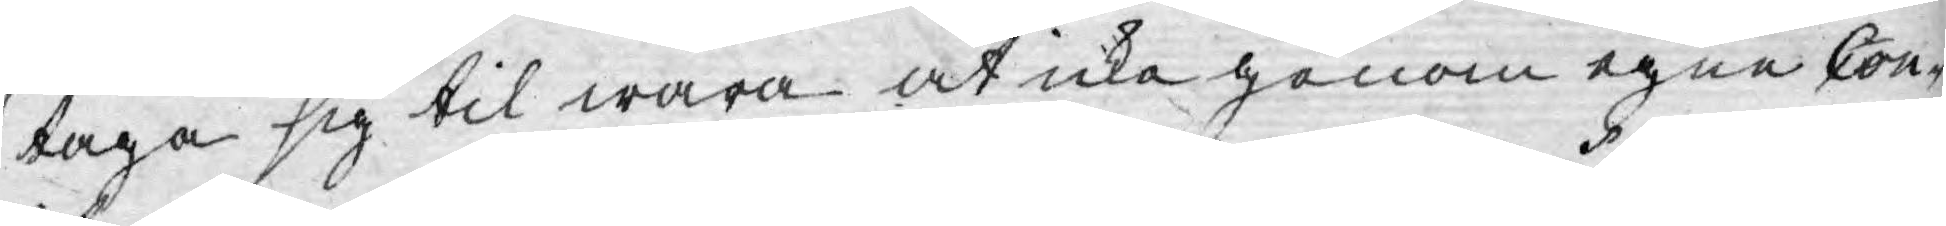taga sig til wara at icke genom egne Con¬
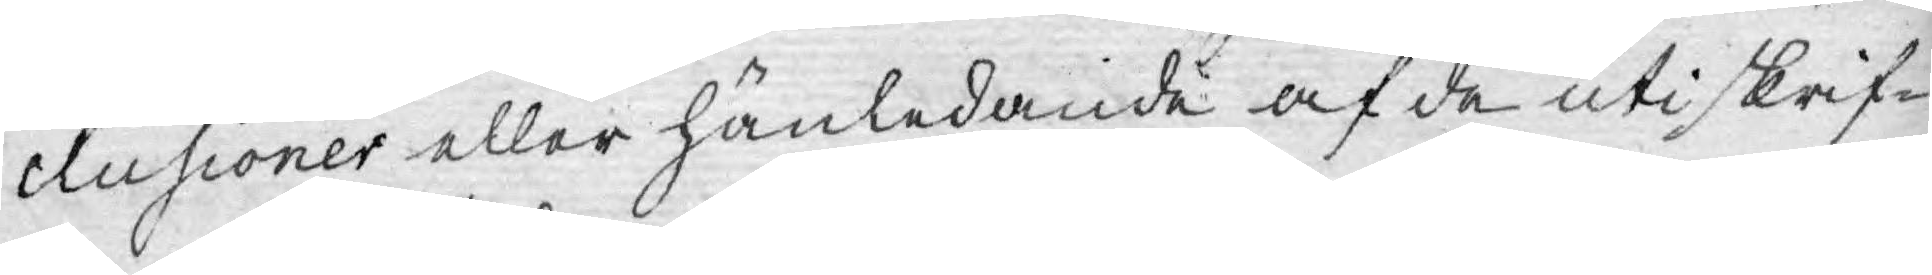clusioner eller hänledande af de uti skrif¬
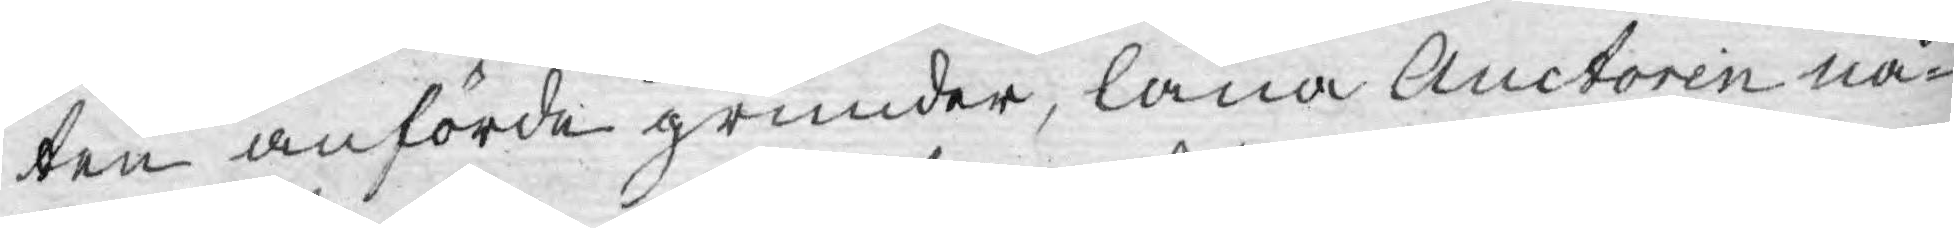ten anförde grunder, låna Auctoren nå¬
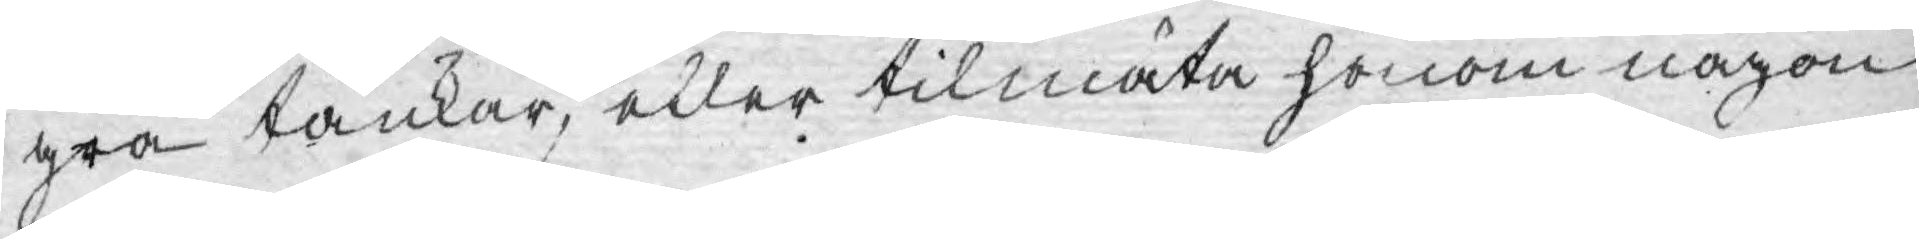gra tankar, eller tilmäta honom någon
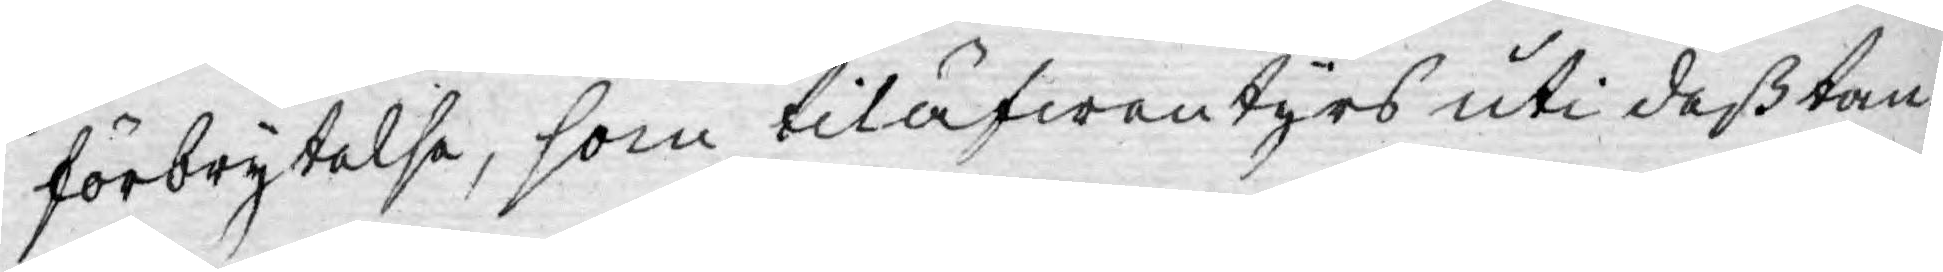förbrytelse, som tiläfwentyrs uti deß tan¬
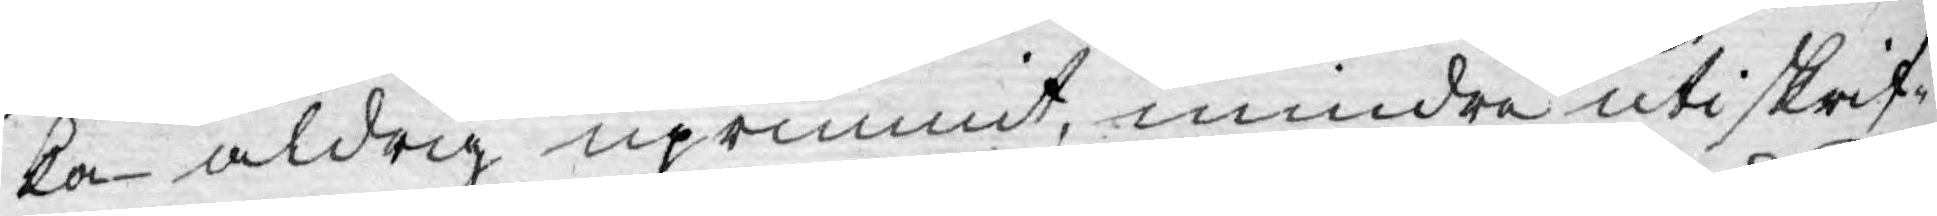ka aldrig uprunnit, mindre uti skrif¬
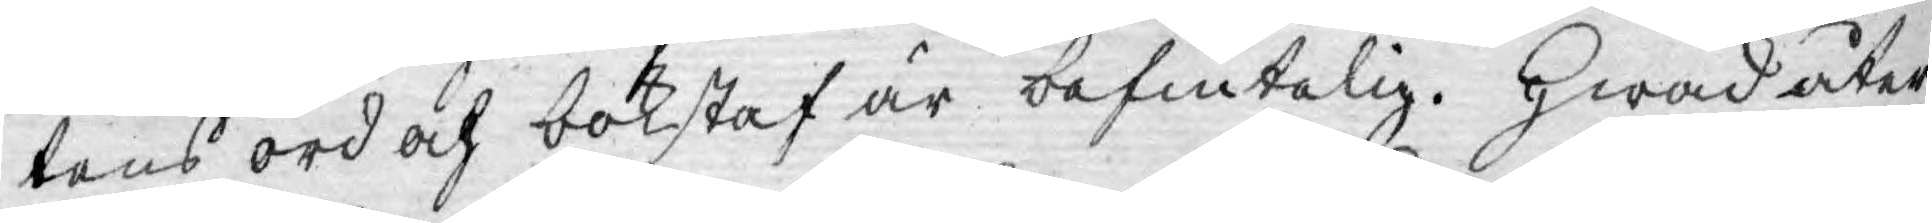tens ord och bokstaf är befintelig. Hwad åter
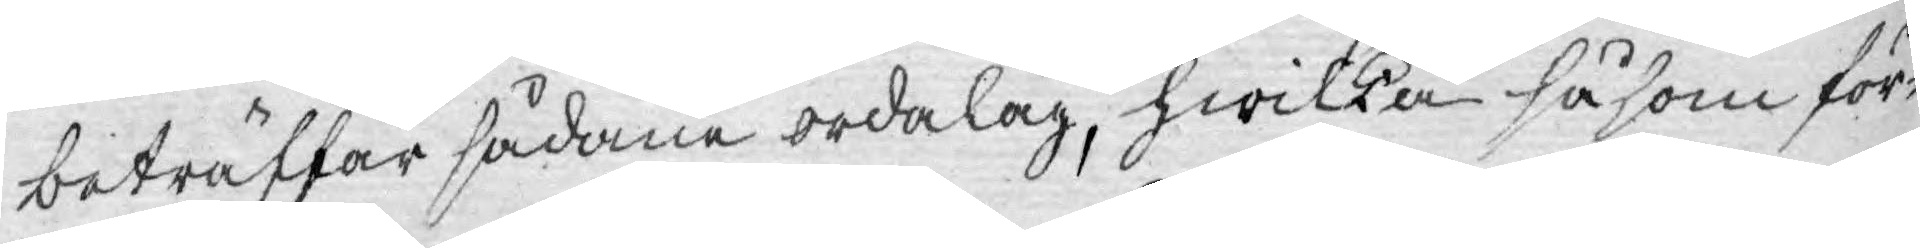beträffar sådane ordalag, hwilka såsom för¬
